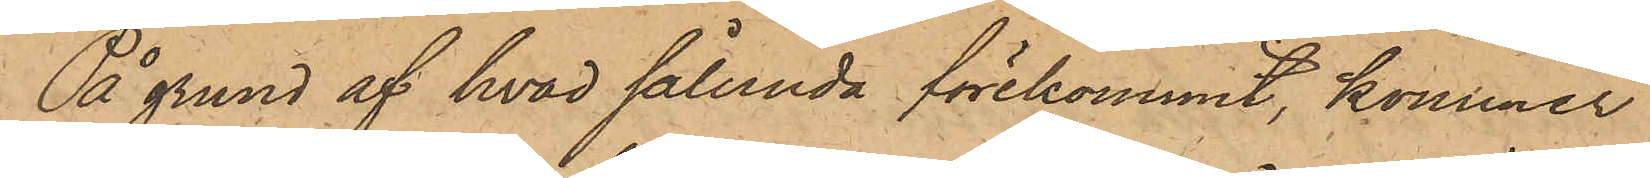På grund af hvad sålunda förekommit, kommer
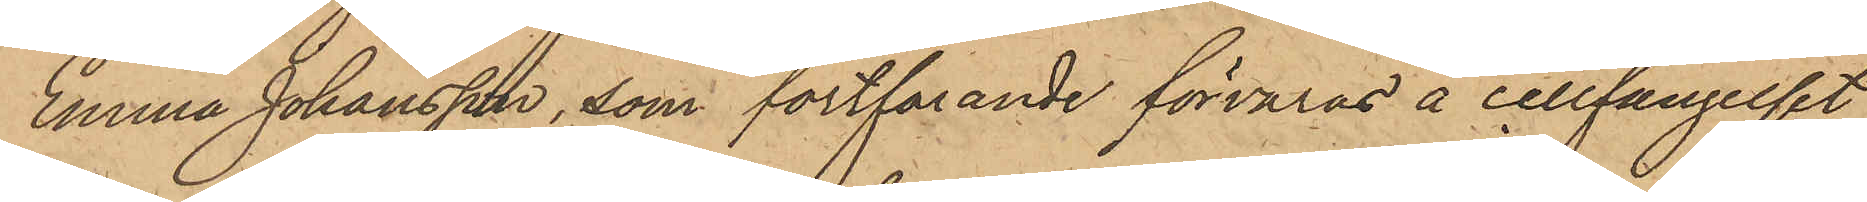Emma Johansson, som fortfarande förvaras å cellfängelset,
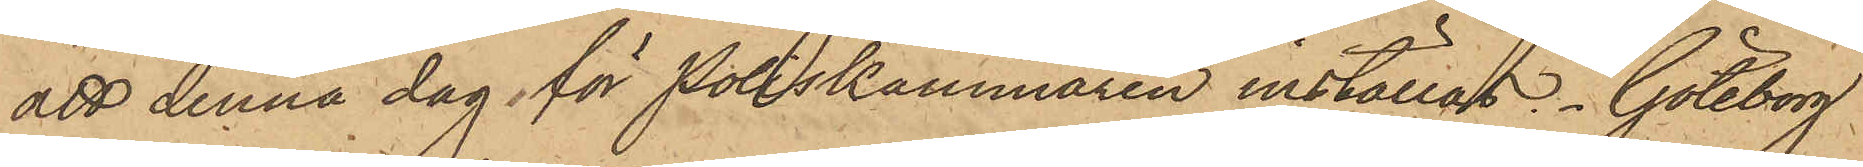att denna dag för Poliskammaren inställas. Göteborg
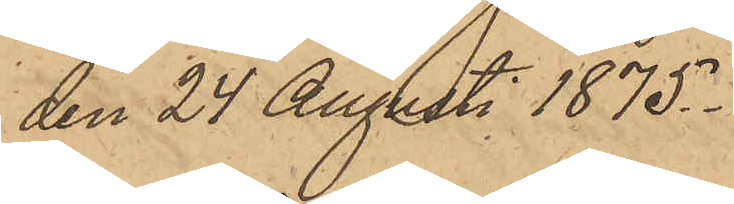den 24 Augusti 1875.
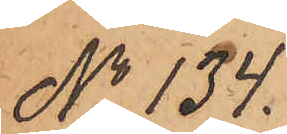No 134.
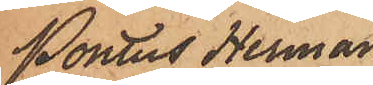Pontus Herman
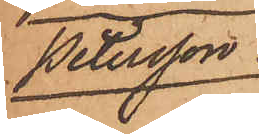Petersson.
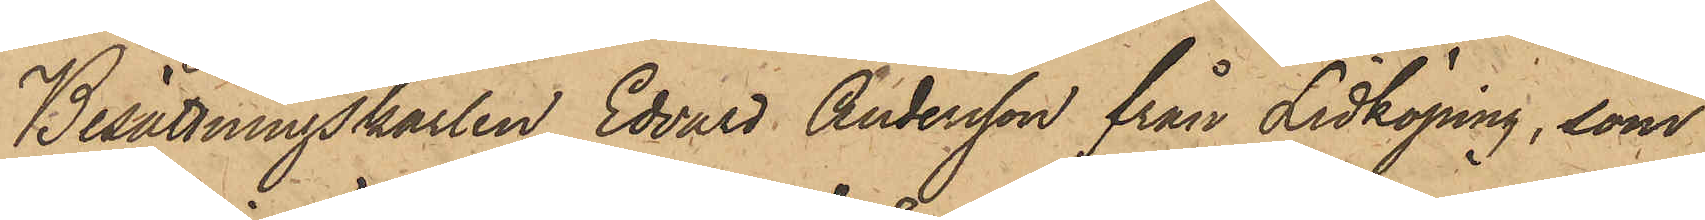Besättningskarlen Edvard Andersson från Lidköping, som
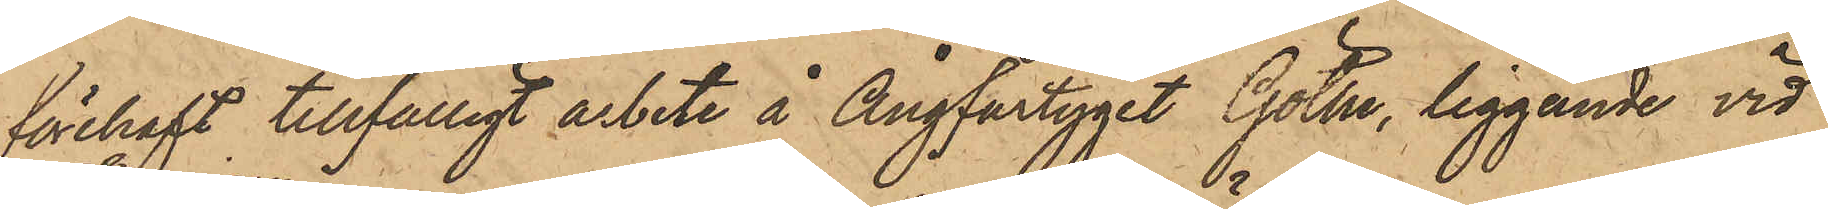förehaft tillfälligt arbete å Ångfartyget Göthe, liggande vid
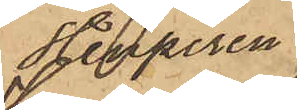Stenpiren
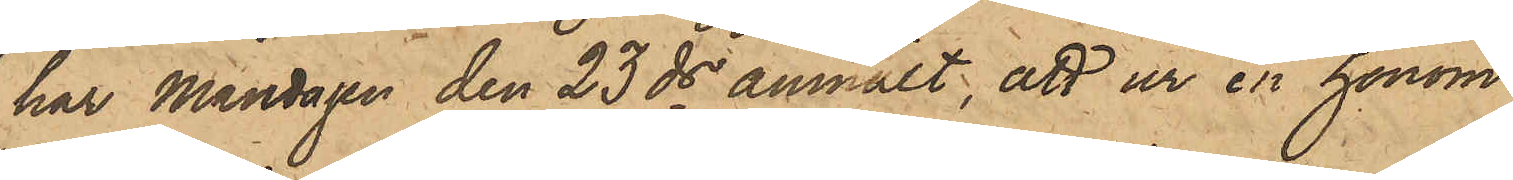har Måndagen den 23 ds anmält, att ur en honom
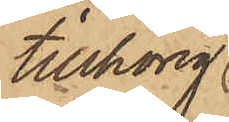tillhörig
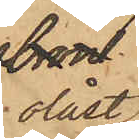olåst
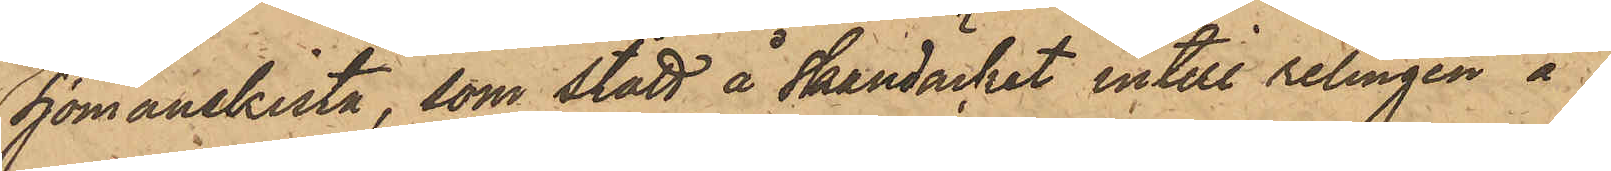Sjömanskista, som stått å skandäcket intill relingen å
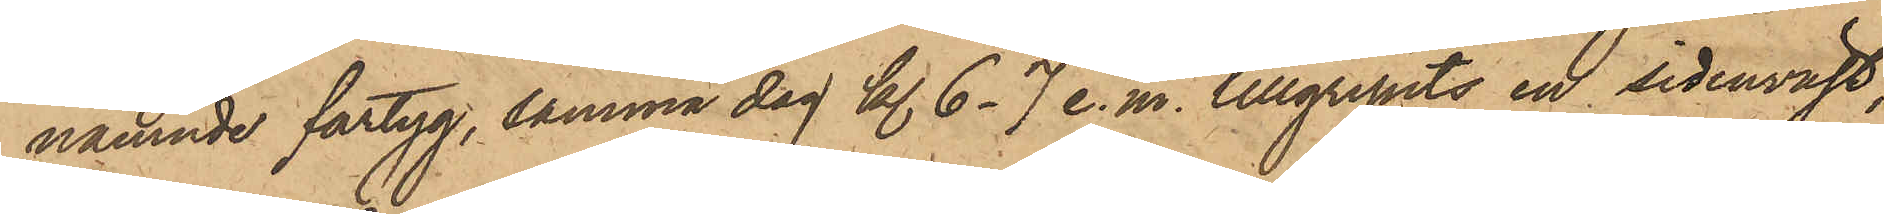nämnde fartyg, samma dag kl. 6 -7 e. m. tillgripits en sidenväst,
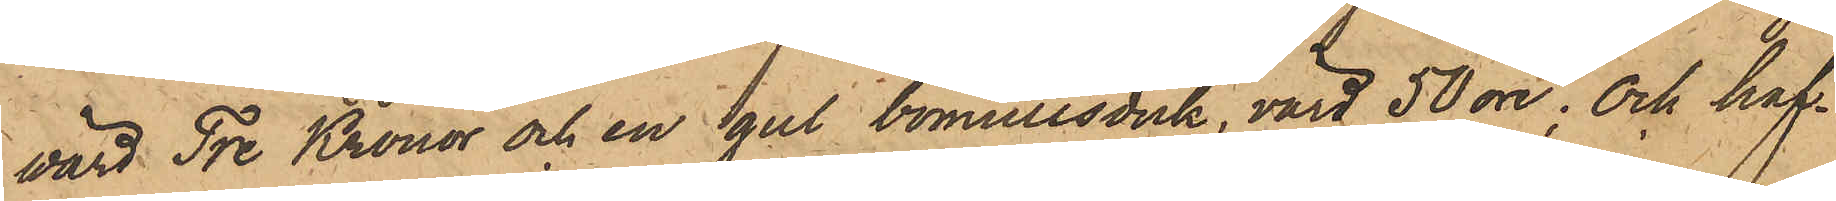wärd Tre Kronor och en gul bomullsduk, värd 50 öre; och haf¬
